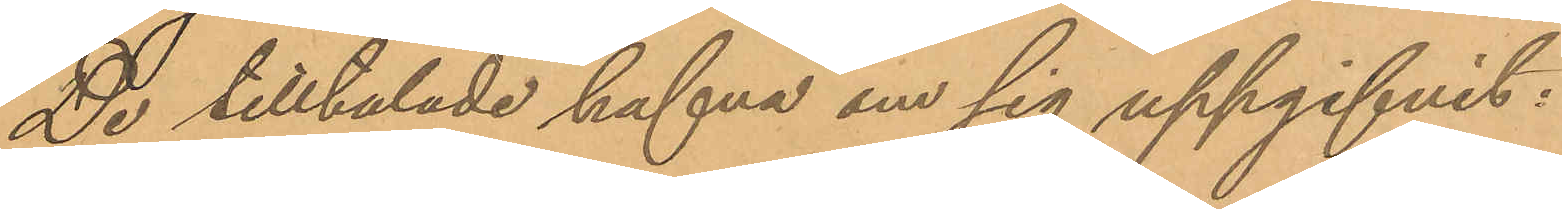De tilltalade hafva om sig uppgifvit:
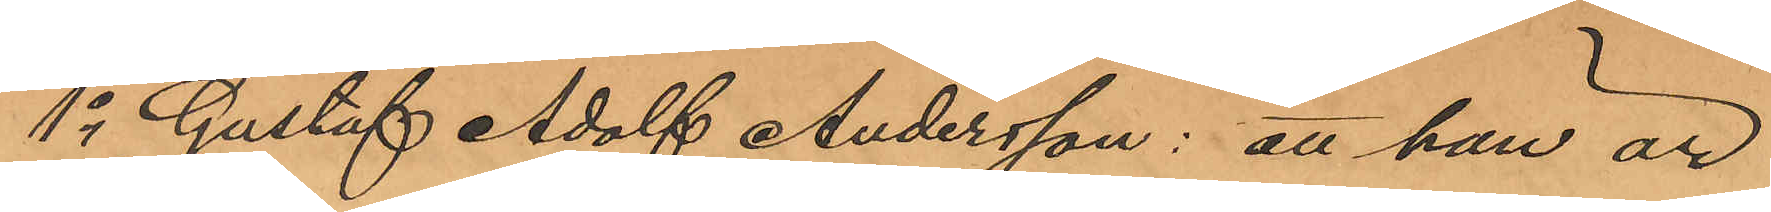1o Gustaf Adolf Andersson: att han är
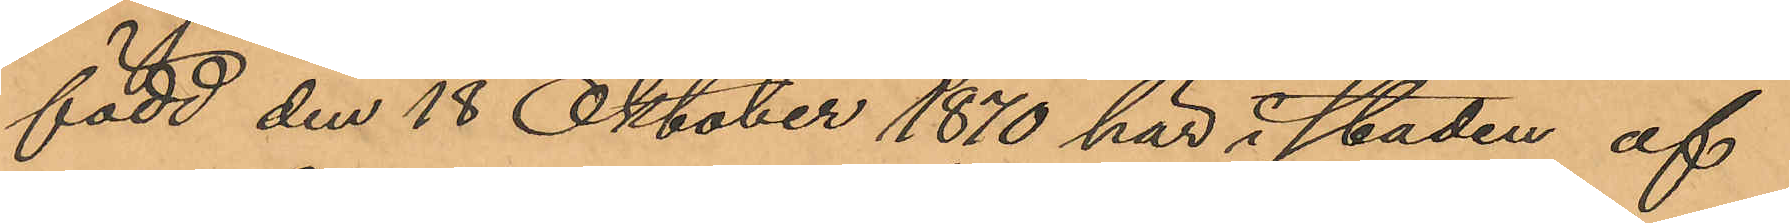född den 18 Oktober 1870 här i staden af
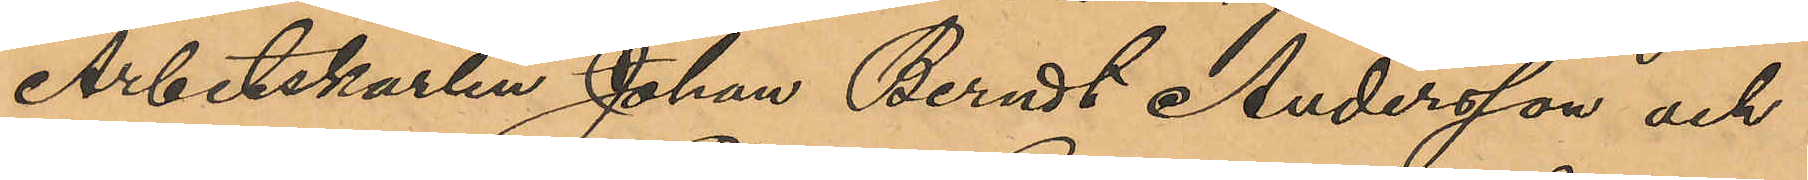Arbetskarlen Johan Berndt Andersson och
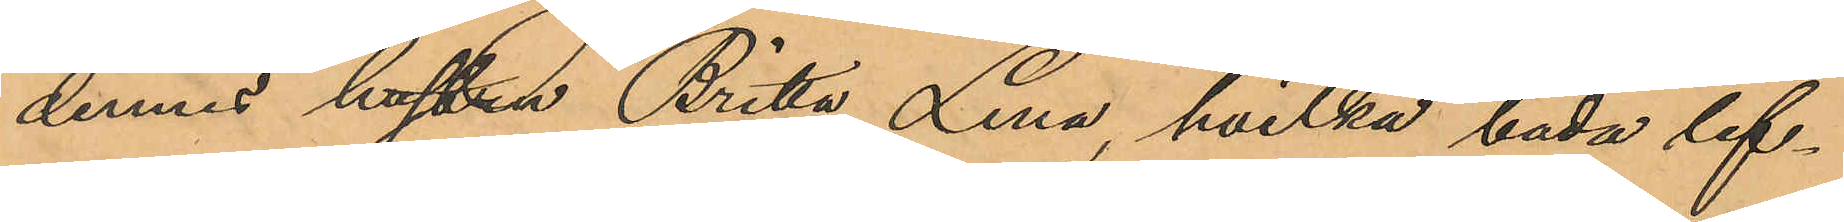dennes hustru Britta Lena, hvilka båda lef¬
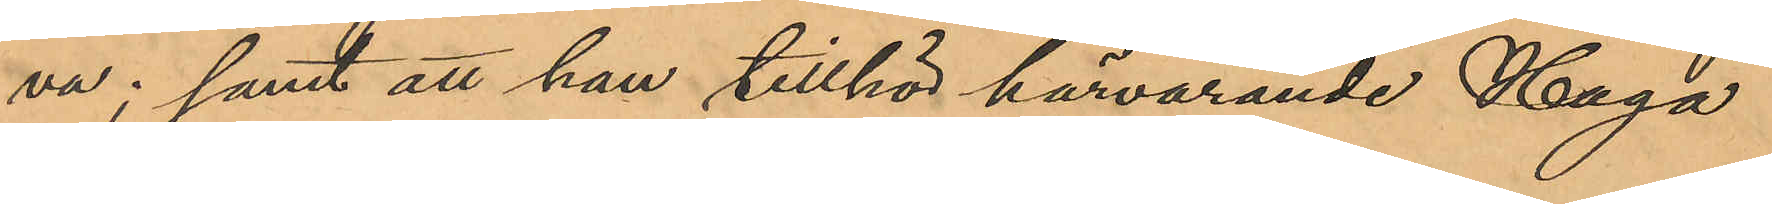va; samt att han tillhör härvarande Haga
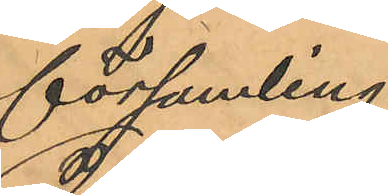församling.
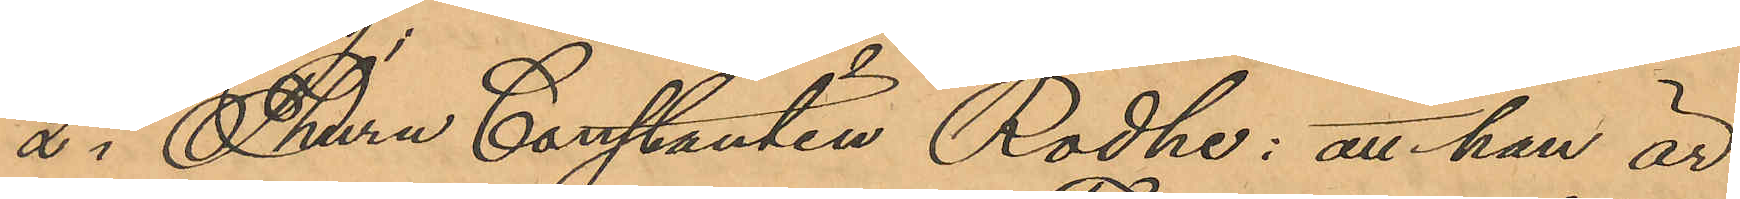2o Thure Constantin Rodhe: att han är
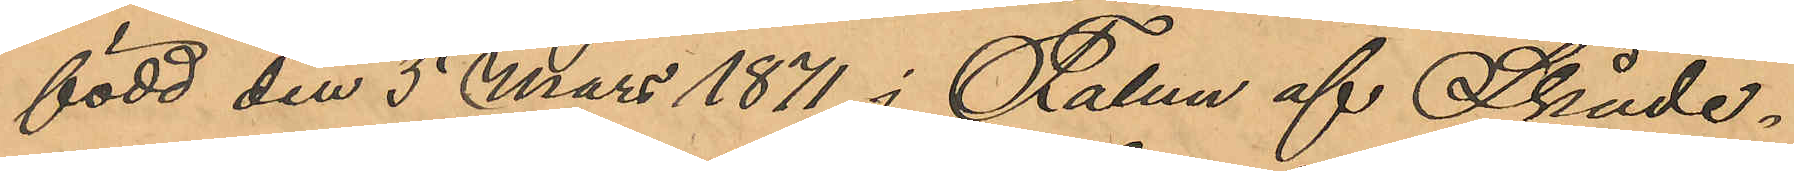född den 5 Mars 1871 i Falun af Skåde¬
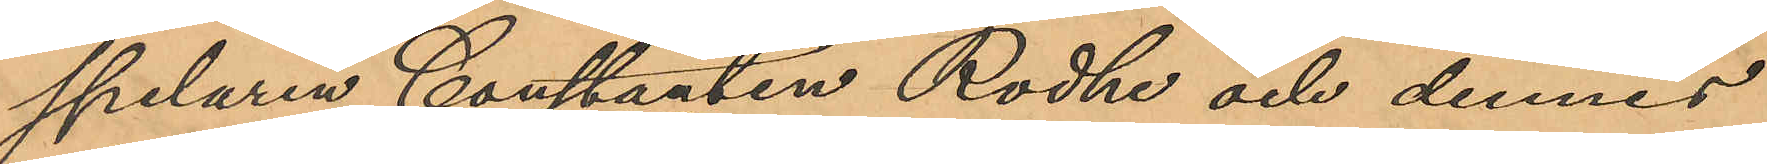spelaren Constantin Rodhe och dennes
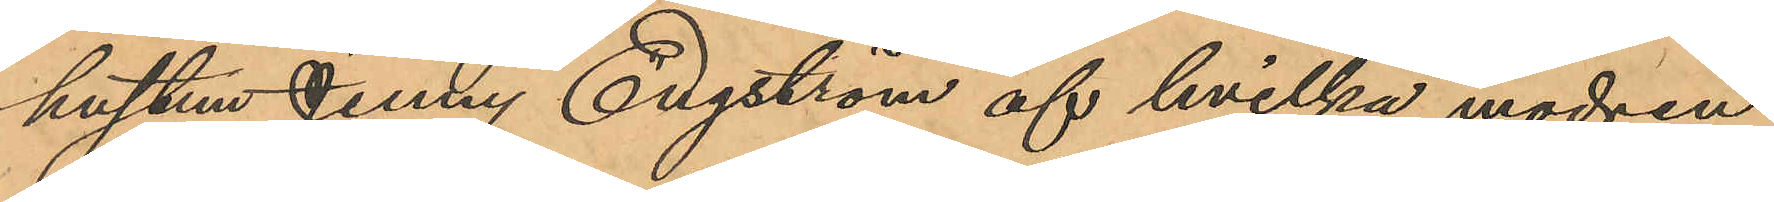hustru Jenny Engström af hvilka modern
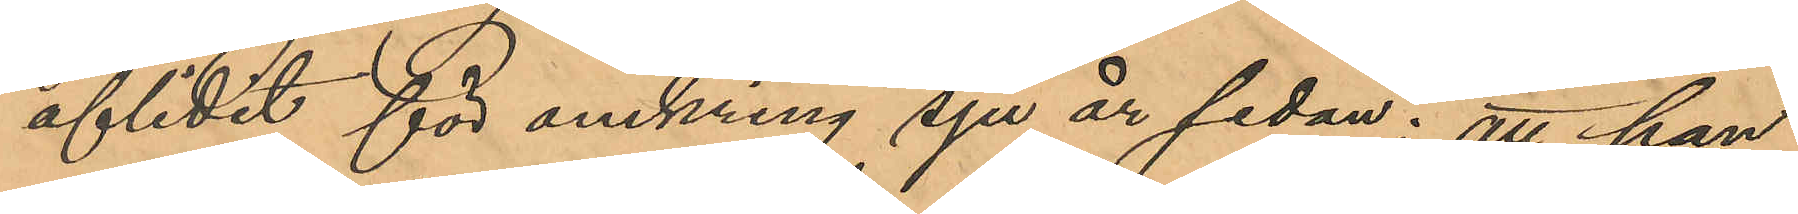aflidit för omkring sju år sedan; att han
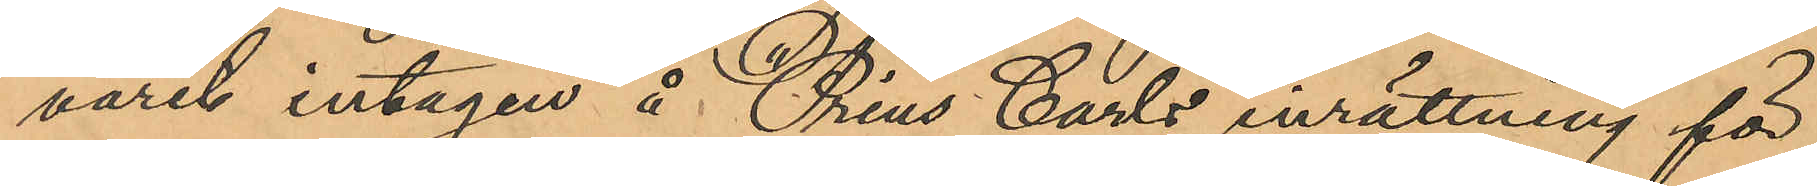varit intagen å "Prins Carls inrättning för
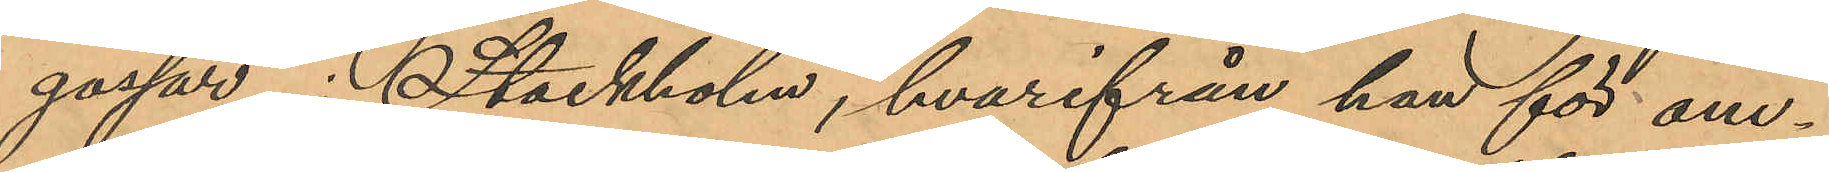gossar" i Stockholm, hvarifrån han för om¬
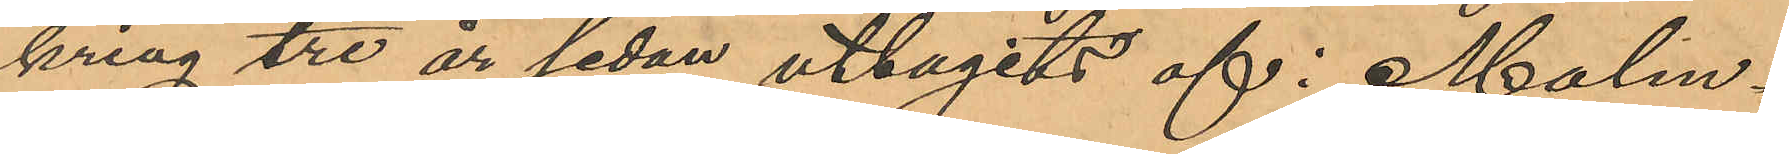kring tre år sedan uttagits af i Malm¬
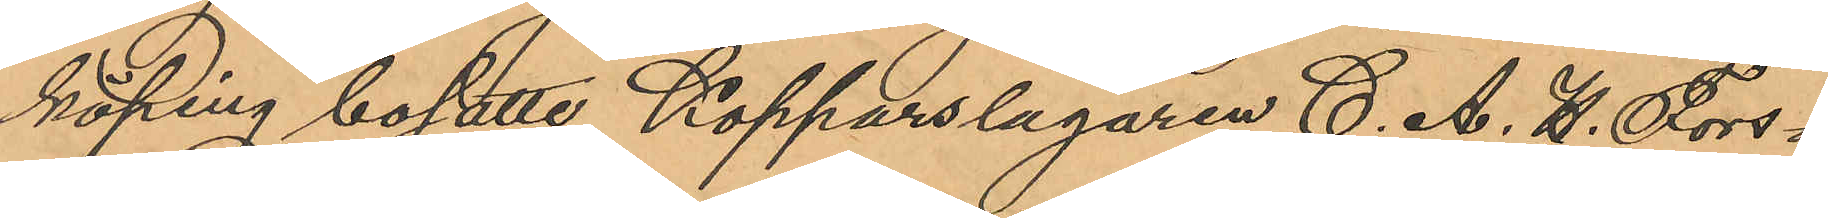köping bosatte Kopparslagaren C. A. H. Fors¬
